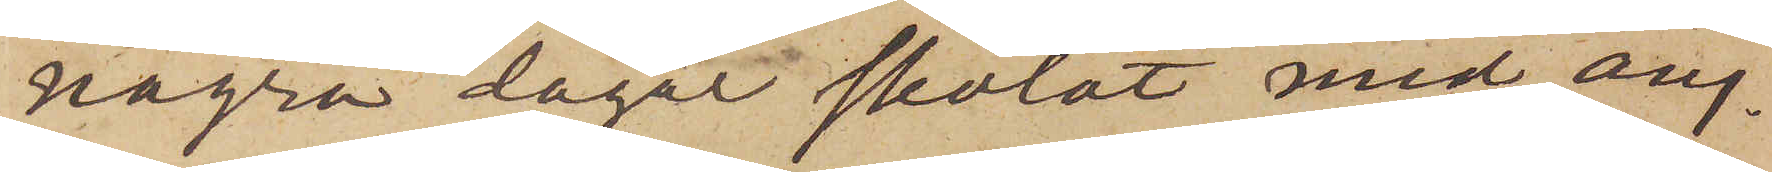några dagar skolat med ång¬
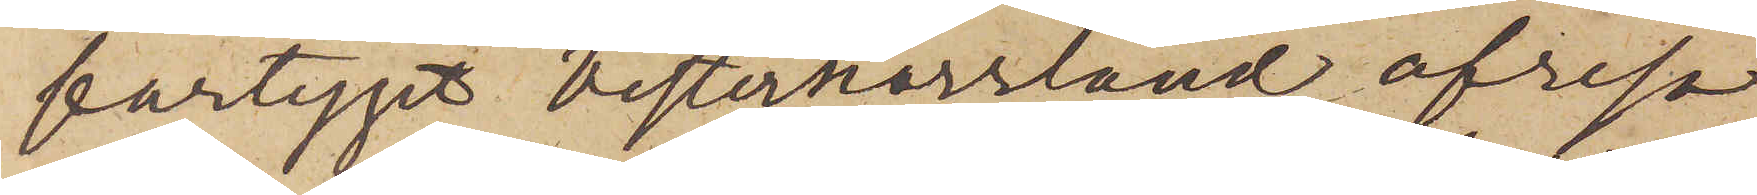fartyget Vesternorrland afresa,
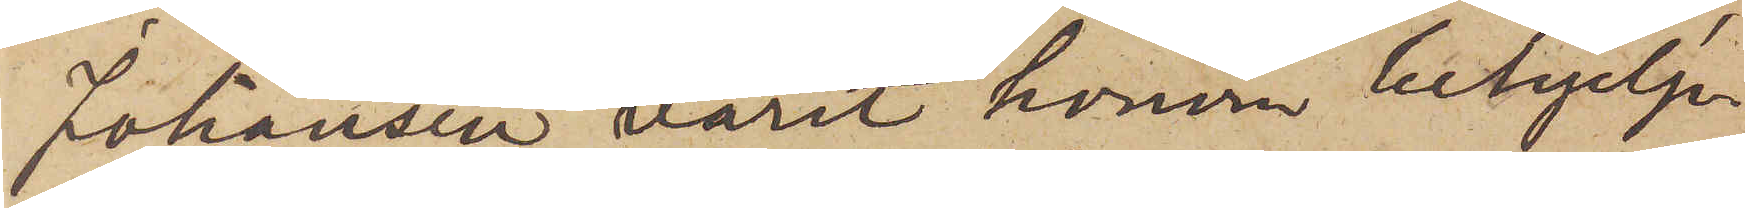Johansen varit honom behjelp¬
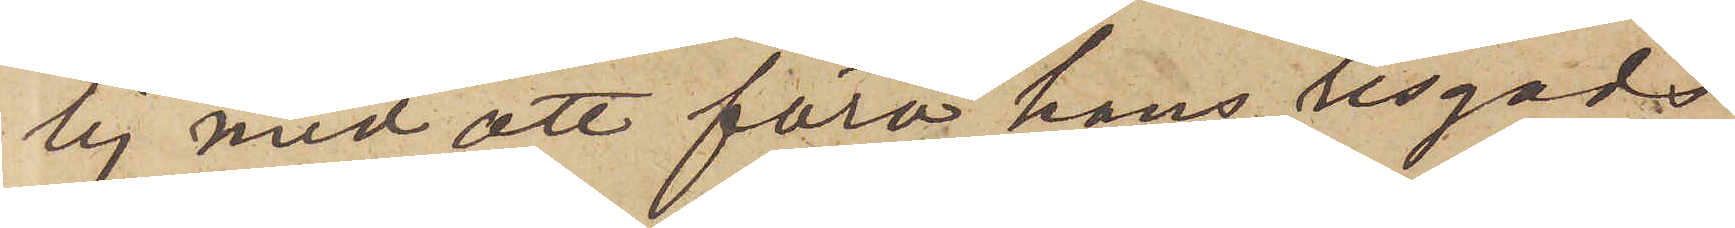lig med att föra hans resgods
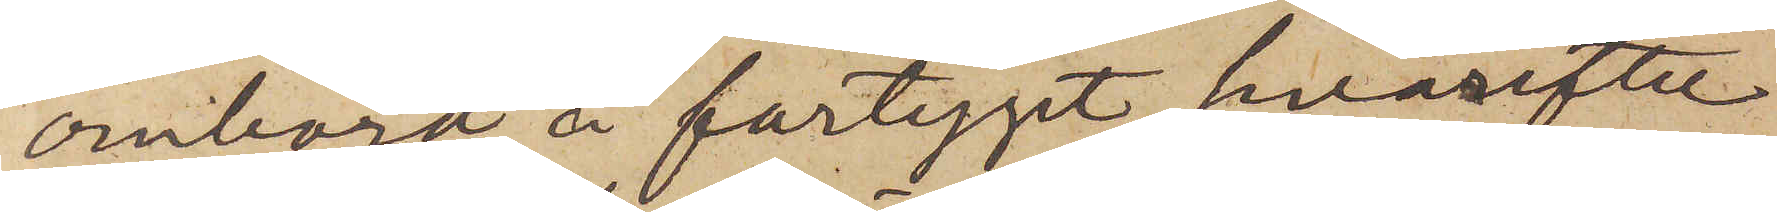ombord å fartyget, hvarefter
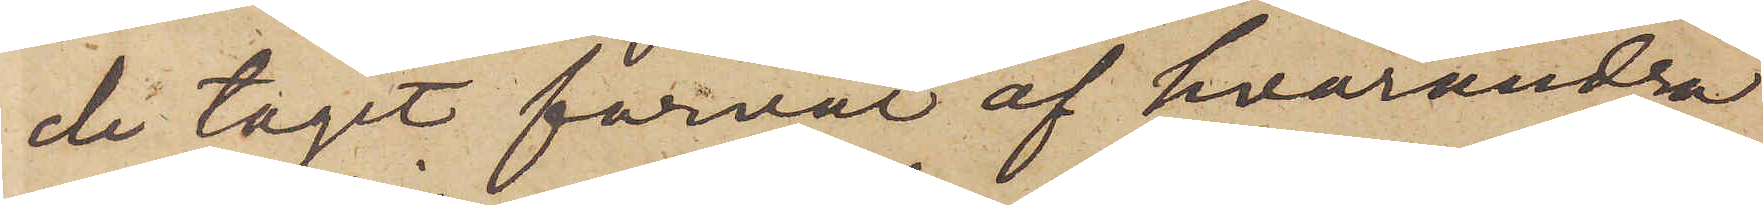de tagit förväl af hvarandra
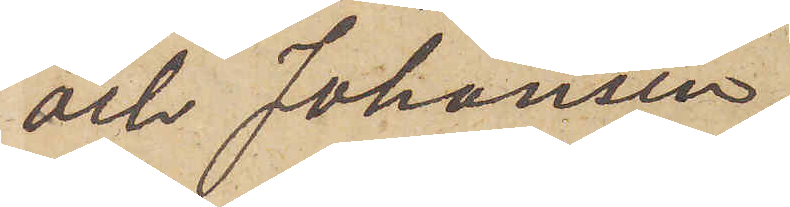och Johansen,
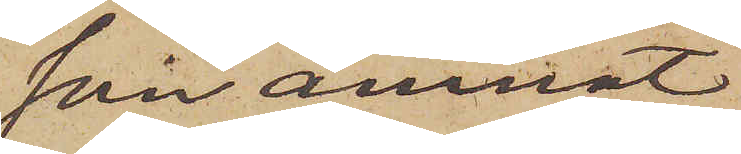som ämnat
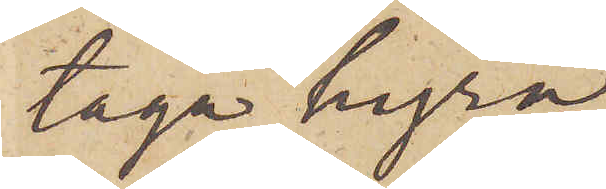taga hyra
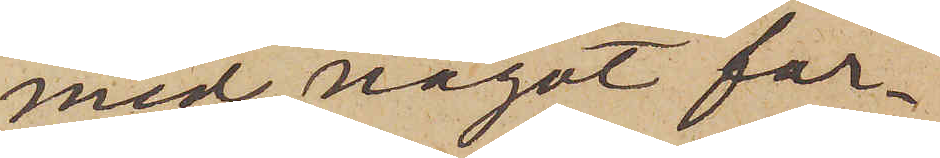med något far¬
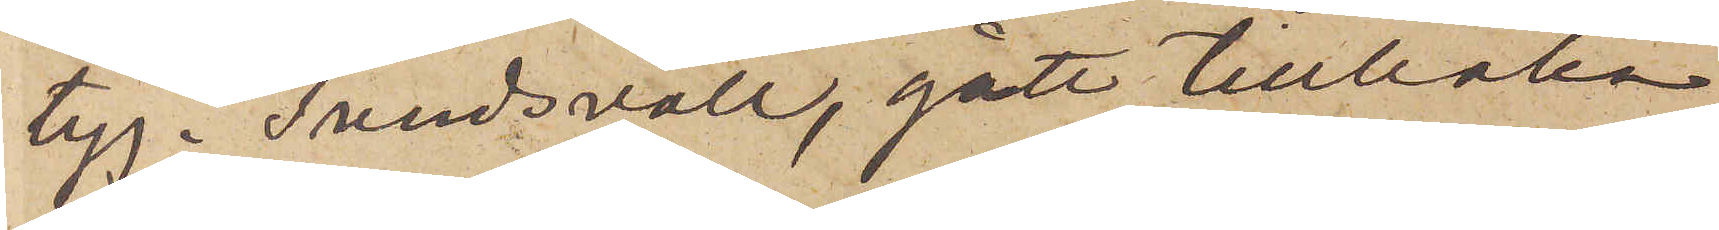tyg i  Sundsvall, gått tillbaka
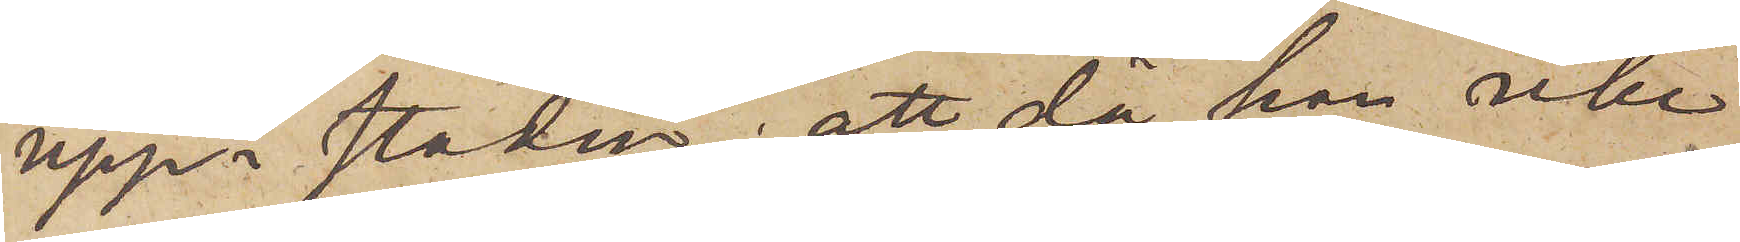upp i staden; att, då han icke
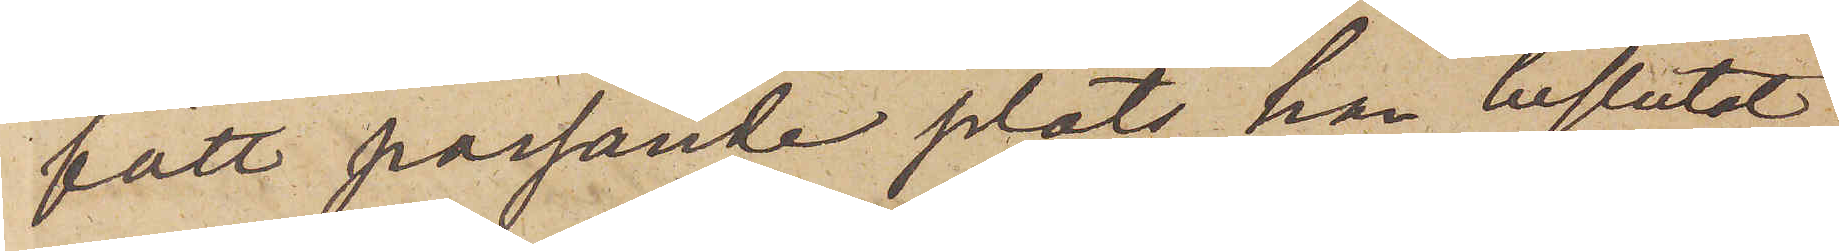fått passande plats, han beslutat
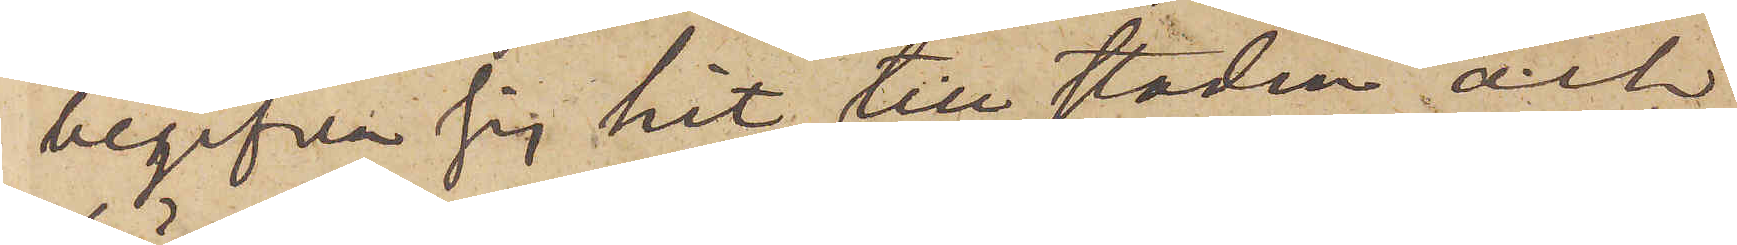begifva sig hit till staden och
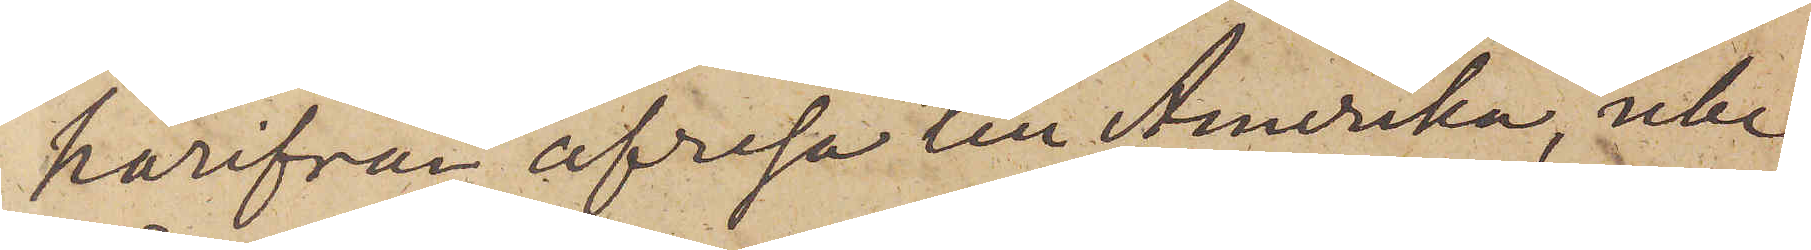härifrån afresa till Amerika, icke
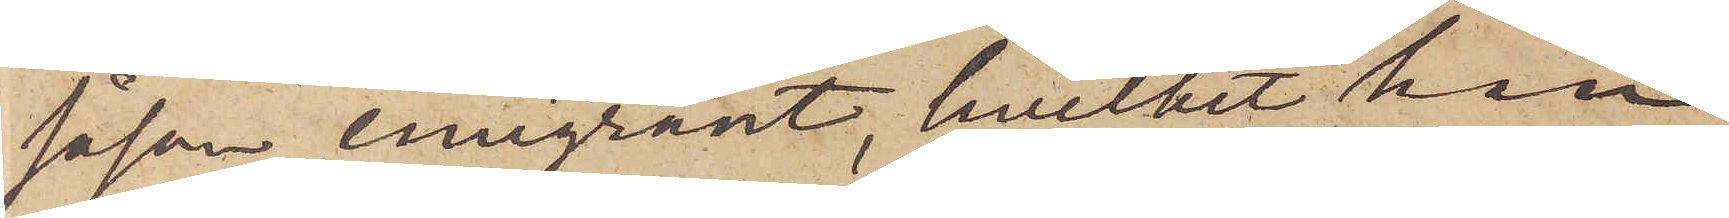såsom emigrant, hvilket han
